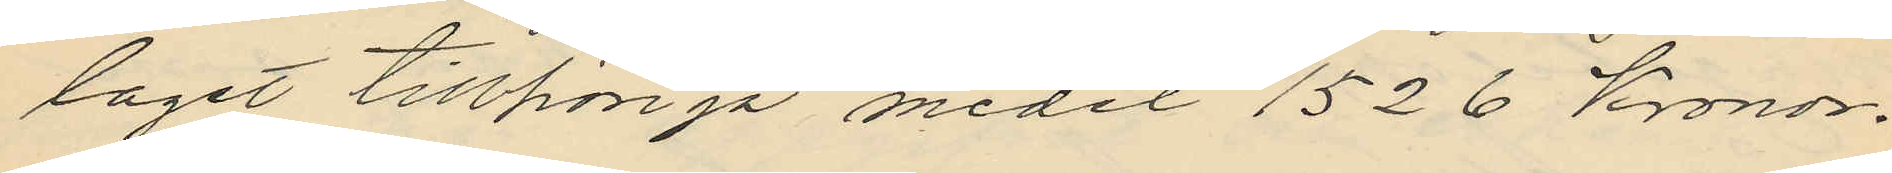laget tillhöriga medel 1526 Kronor.
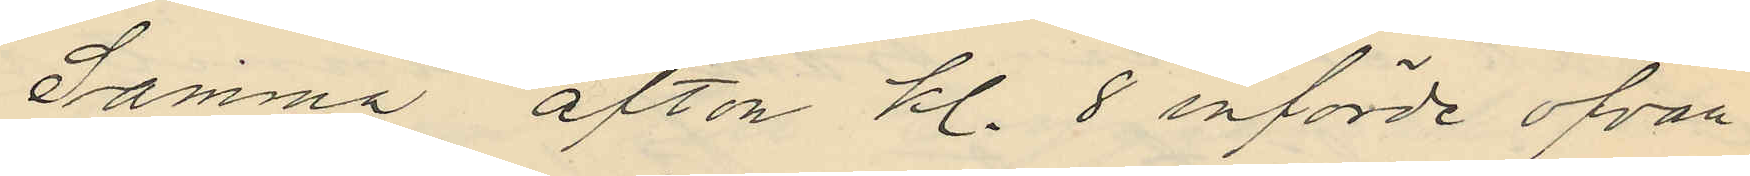Samma afton kl. 8 införde ofvan¬
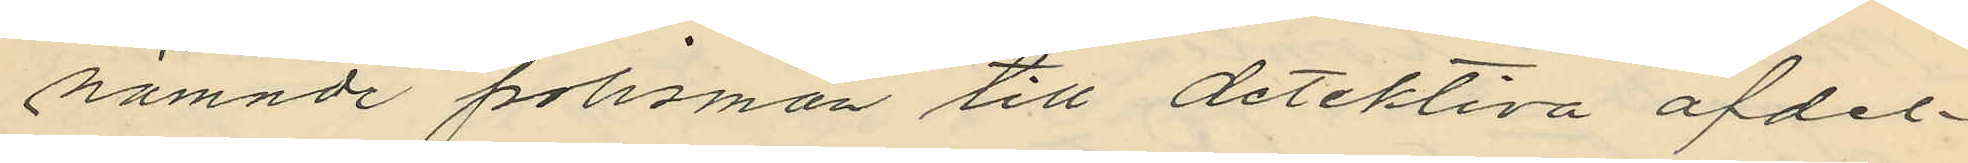nämnde polismän till detektiva afdel¬
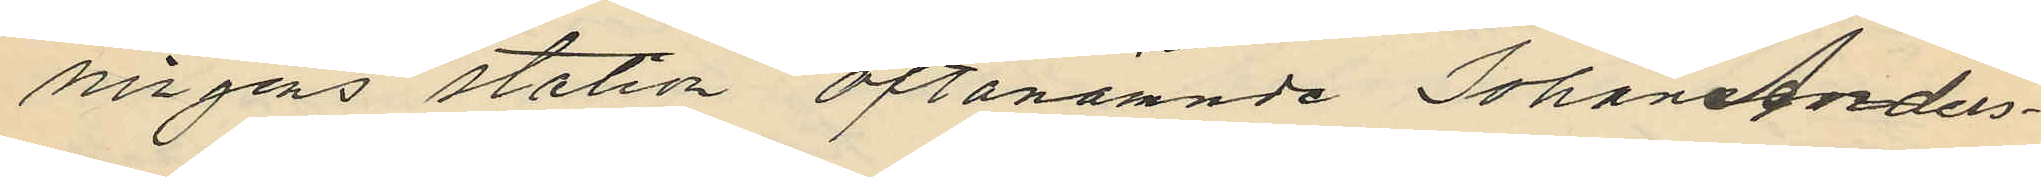singens station oftanämnde Johan Anders¬
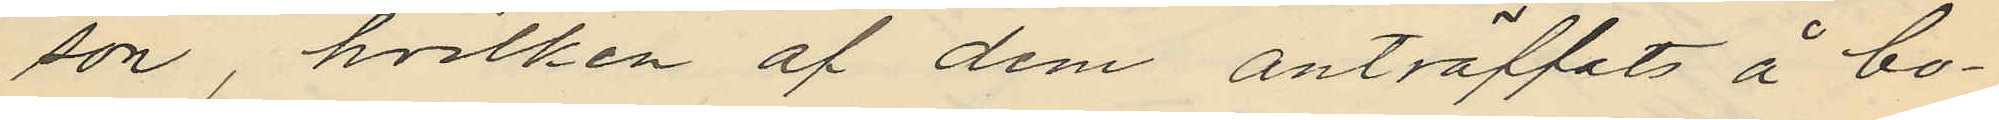son, hvilken af dem anträffats å bo¬
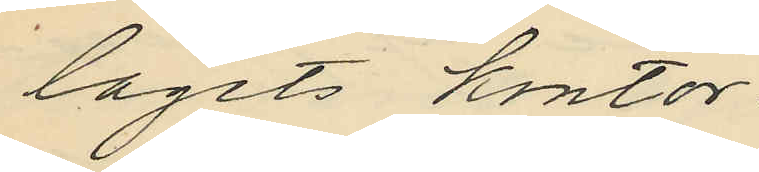lagets kontor.
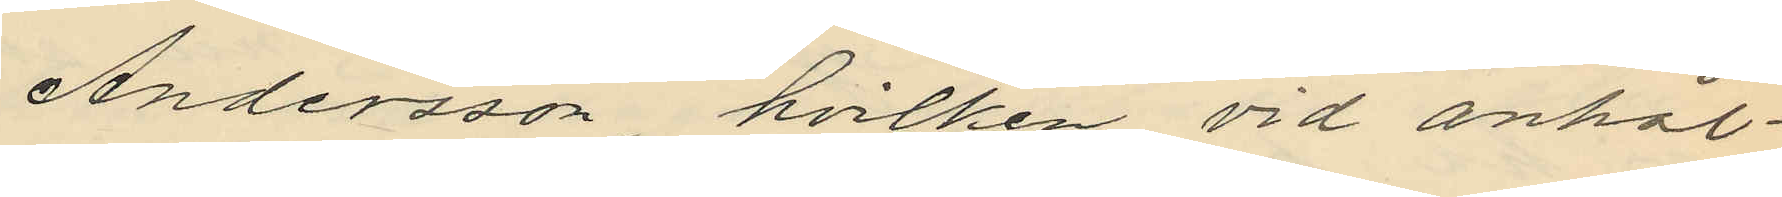Andersson hvilken vid anhål¬
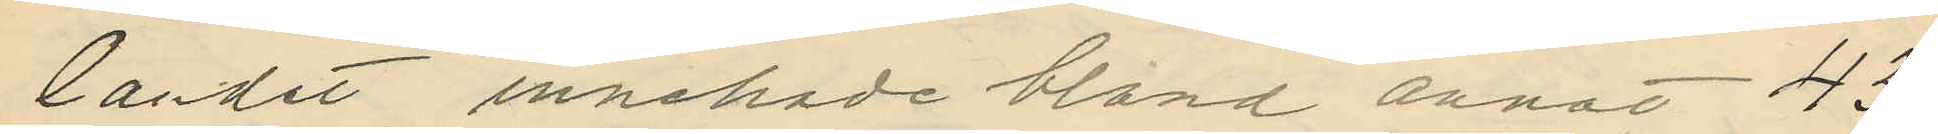landet innehade bland annat 427
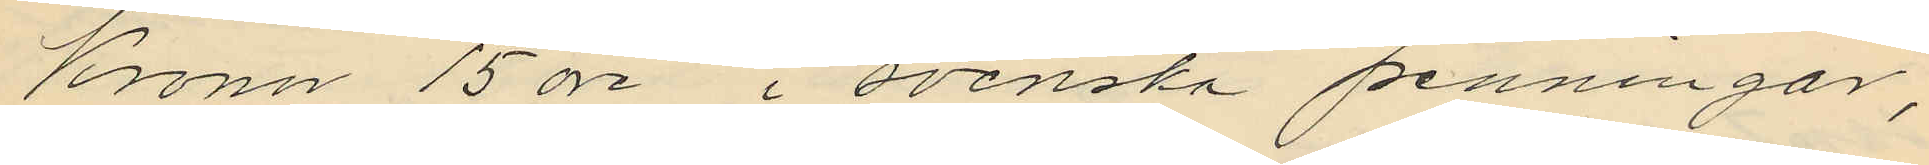Kronor 15 öre i svenska penningar,
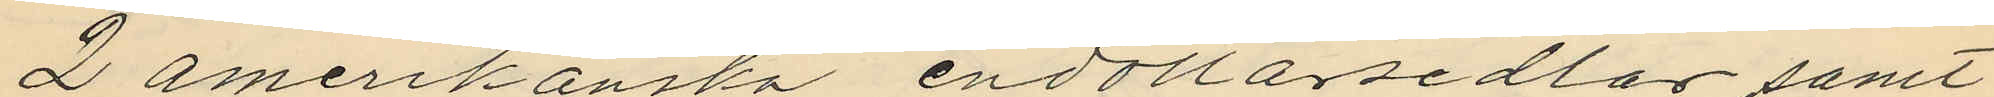2 amerikanska endollarsedlar samt
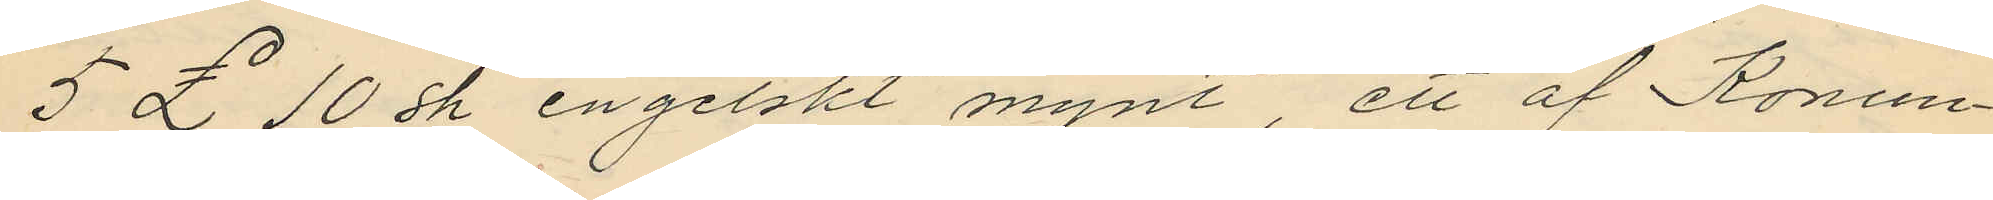5 £ 10 sh engelskt mynt, ett af Konun¬
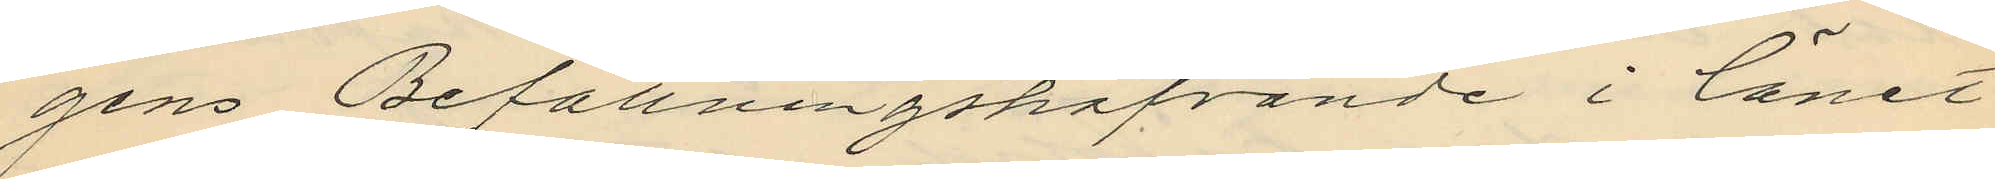gens Befallningshafvande i länet
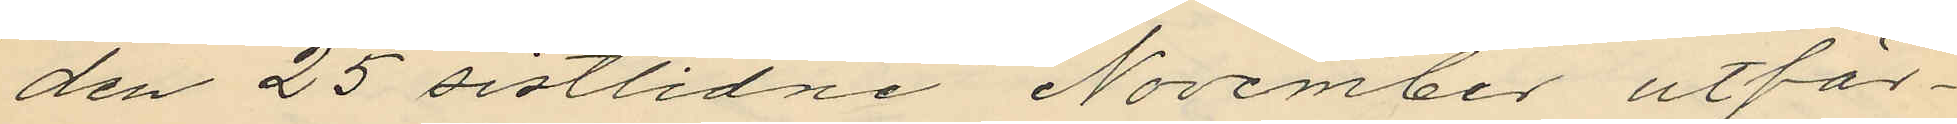den 25 sistlidne November utfär¬
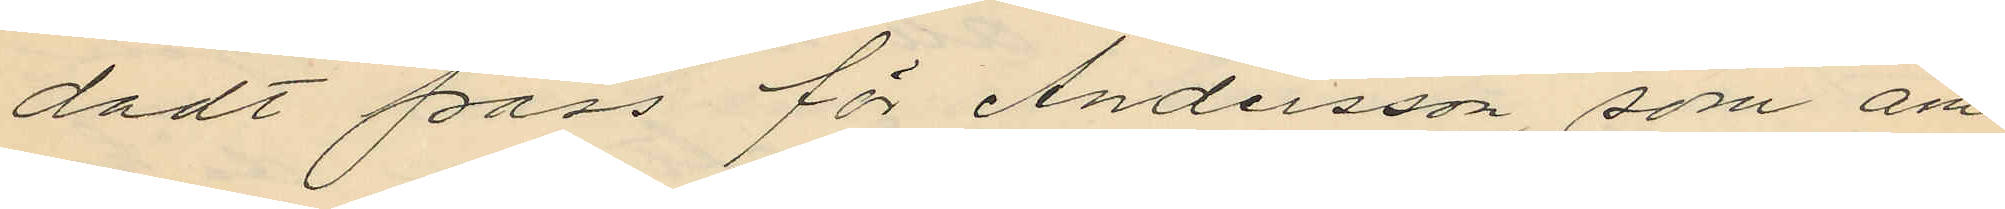dadt pass för Andersson, som äm¬
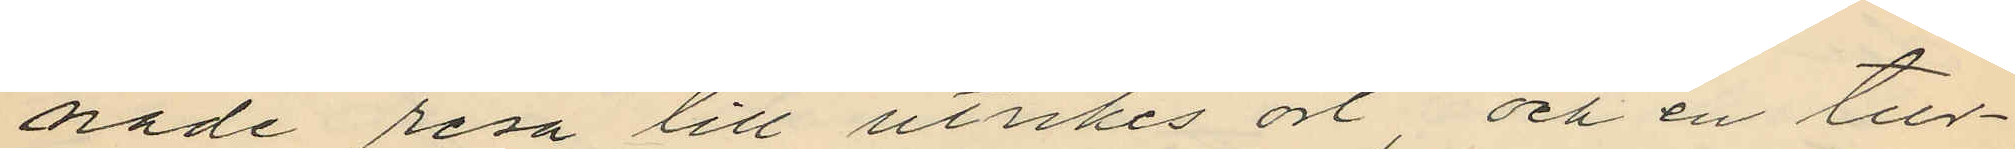nade resa till utrkes ort, och en tur¬
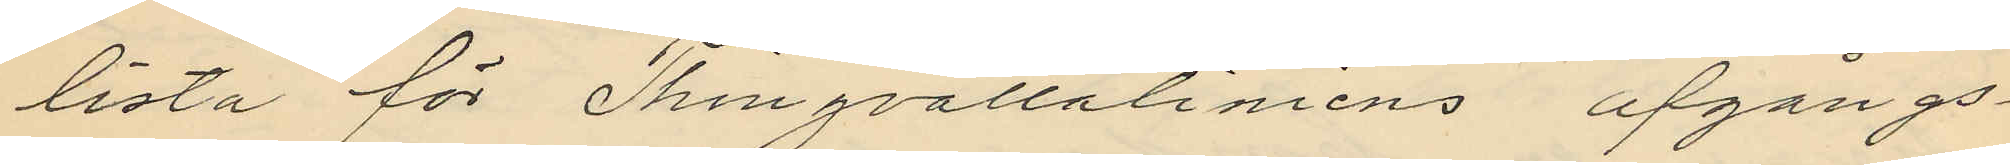lista för Thingvallaliniens afgångs¬
